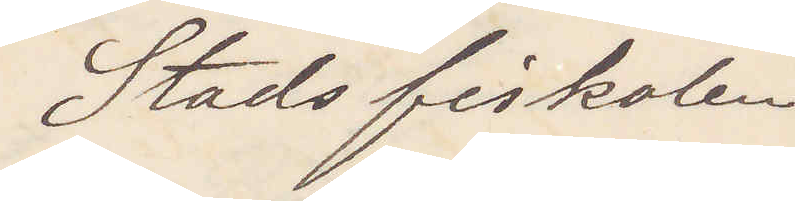Stadsfiskalen
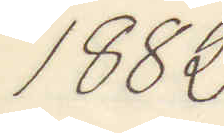1882
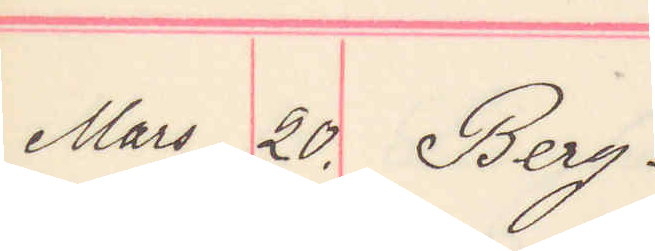Mars 20. Berg.
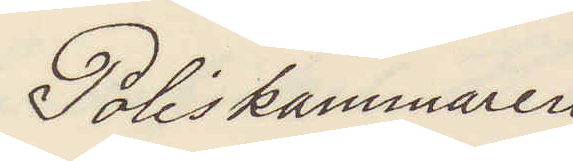Poliskammaren 
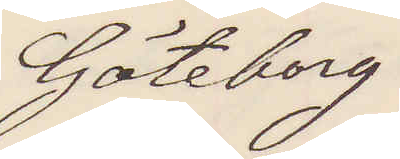Göteborg
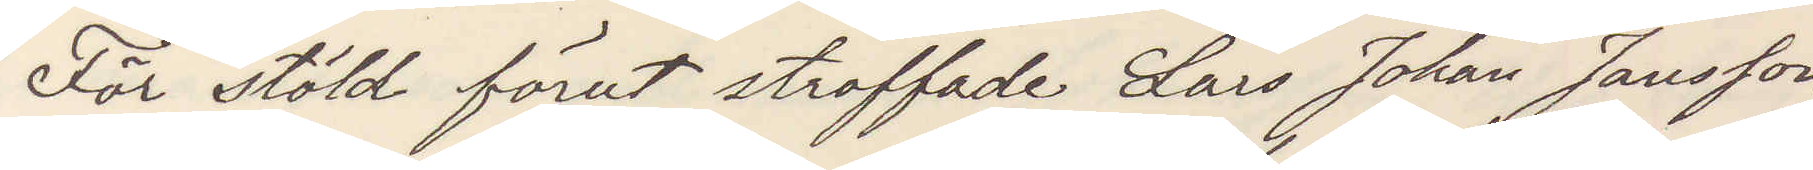För stöld förut straffade Lars Johan Jansson
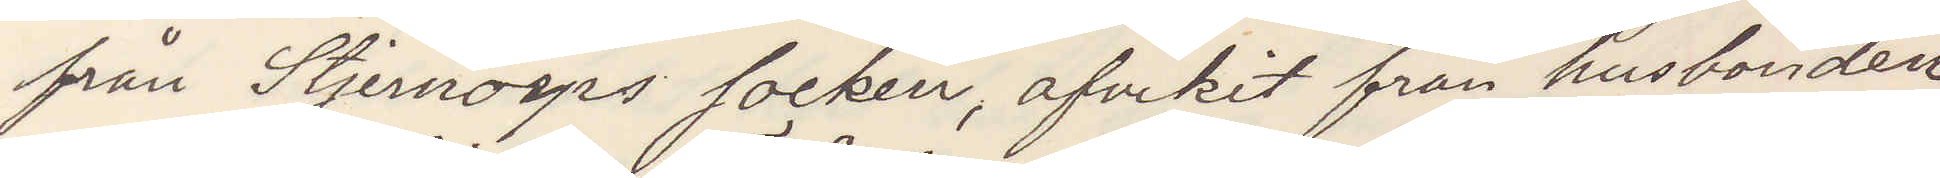från Stjernorps socken, afvikit från husbonden
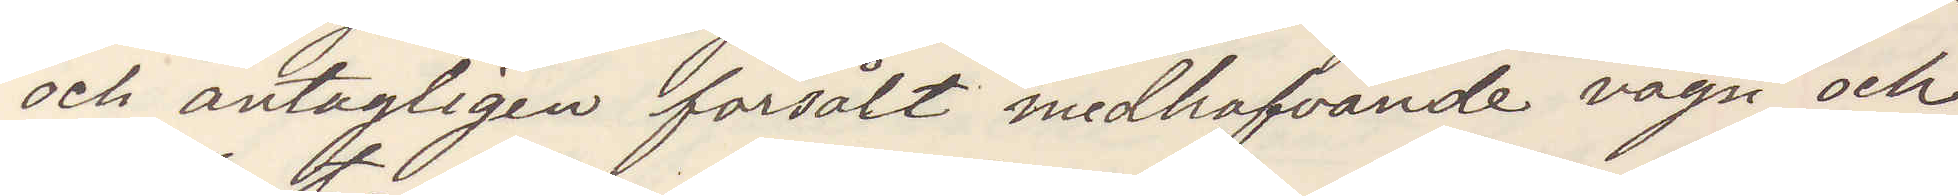och antagligen försålt medhafvande vagn och
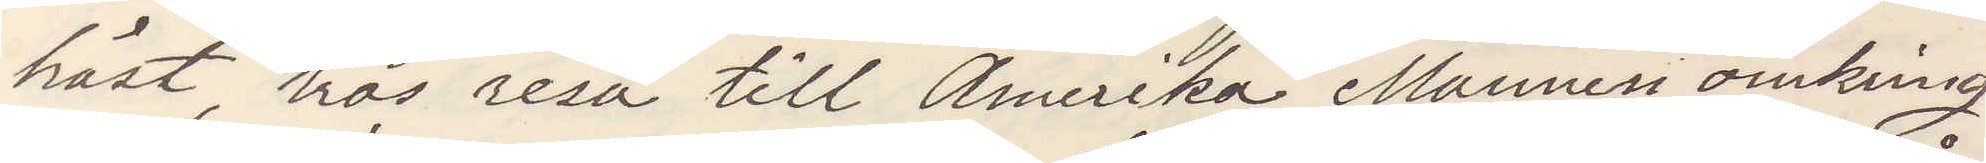häst, tros resa till Amerika
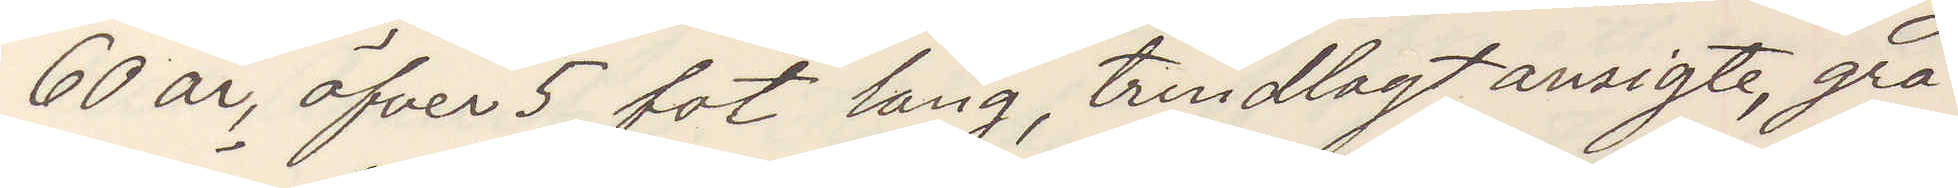60 år, öfver 5 fot lång, trindlagt ansigte, grå¬
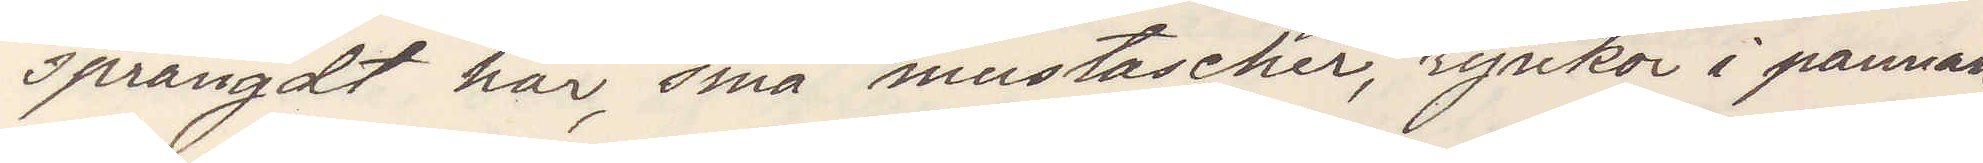sprängdt hår, små mustascher, rynkor i pannan,
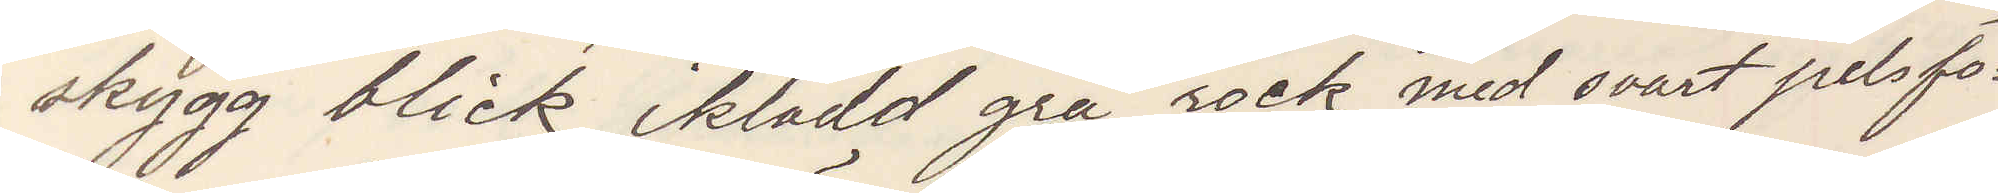skygg blick, iklädd grå rock med svart pelsfo¬
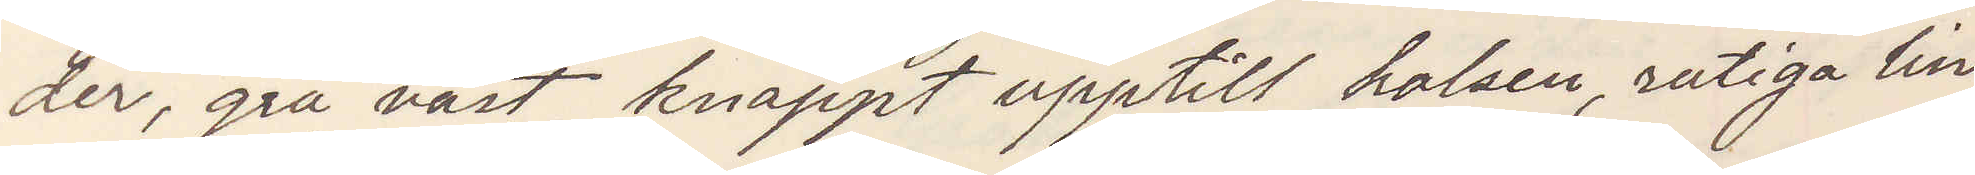der, grå väst knäppt upptill halsen, rutigalin¬
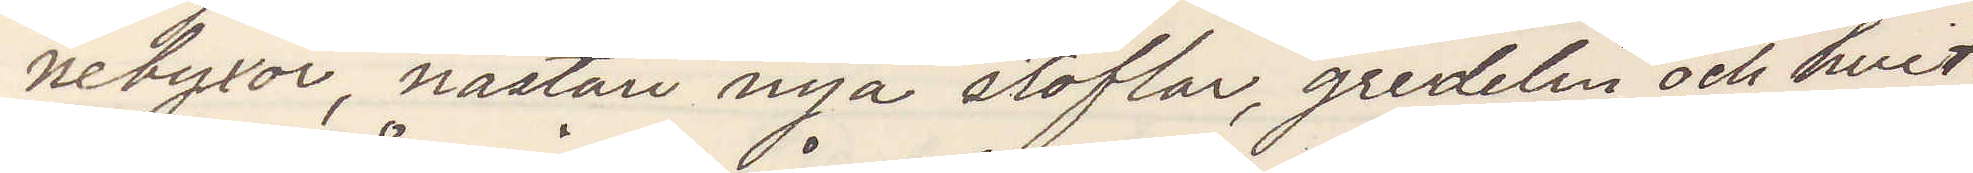nebyxor, nästan nya stöflar, gredelin och hvit¬
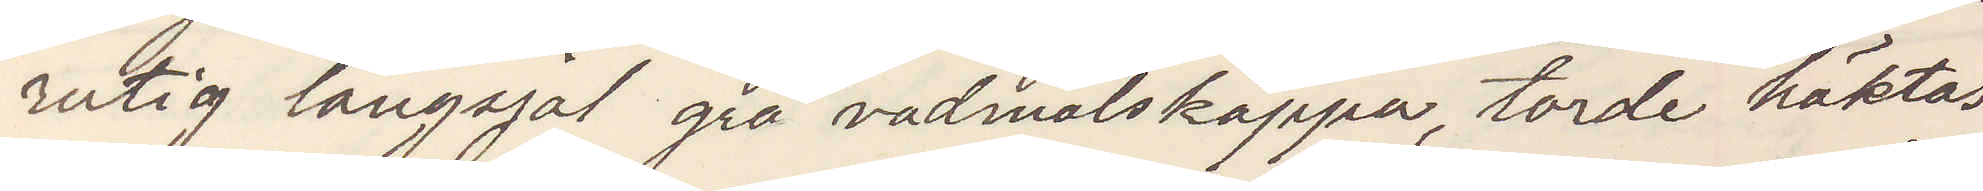rutig långsjal grå vadmalskappa, torde häktas
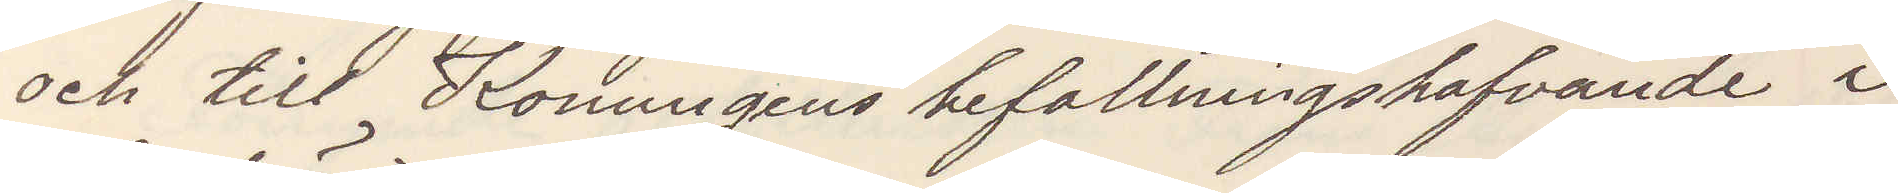och till Konungens befallningshafvande i
